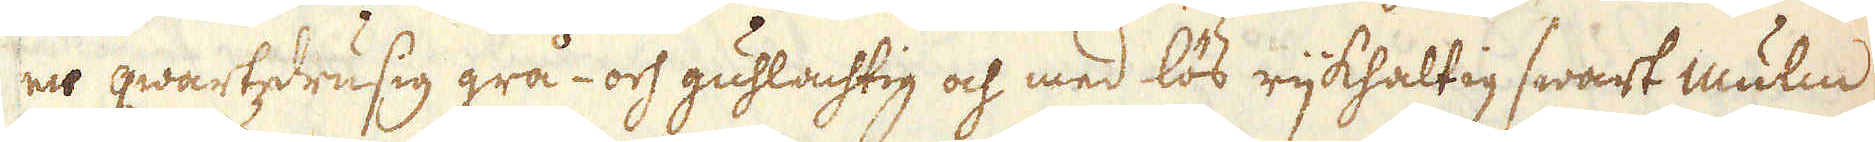en qwartzdrusig grå- och guhlachtig och med lös rijkhaltig swart mulm
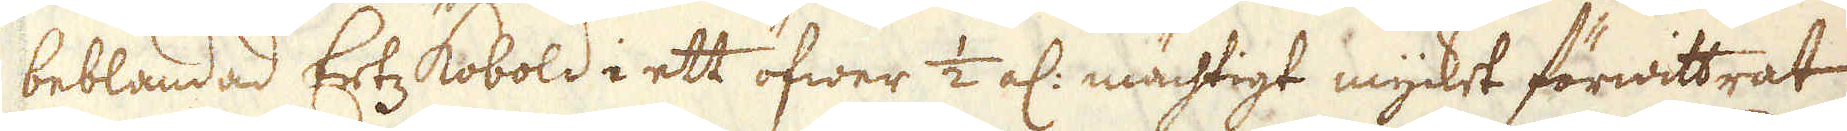beblandad Ertz kobold i ett öfwer 1/2 al: mächtigt mycket förwittrat
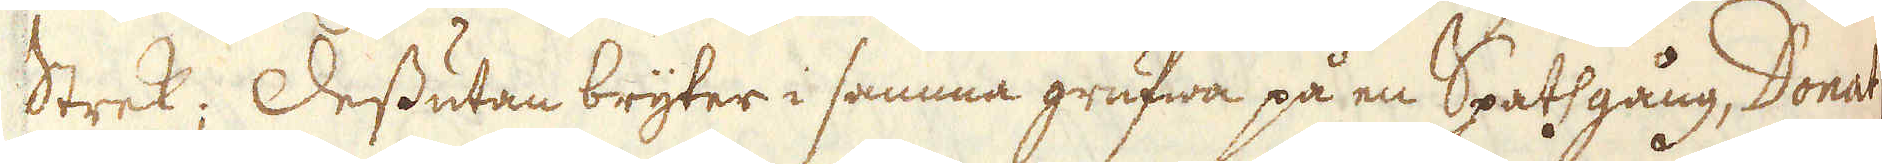Strek; Dessutan bryter i samma grufwa på en Spatsgång, Donat
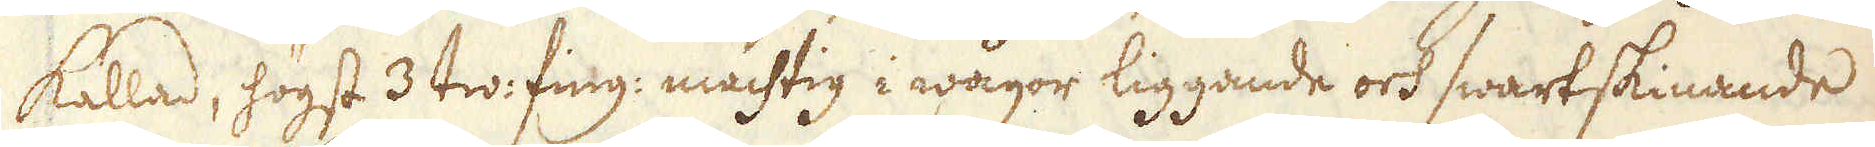kallad, högst 3 tw: fing: mächtig i wågor liggande och swartskinande
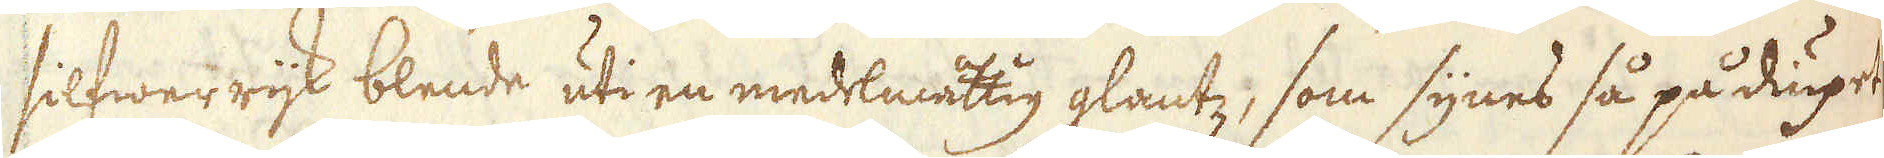silfwerrijk blende uti en medelmåttig glantz, som synes så på diupet
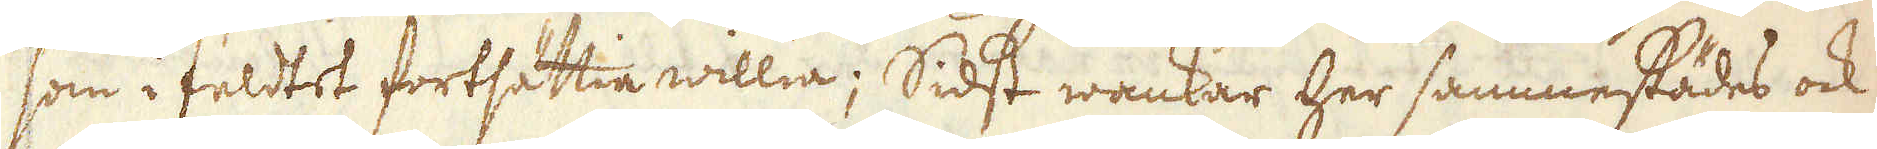som i feldtet fortsättia willia; Sidst wankar her sammestädes ock
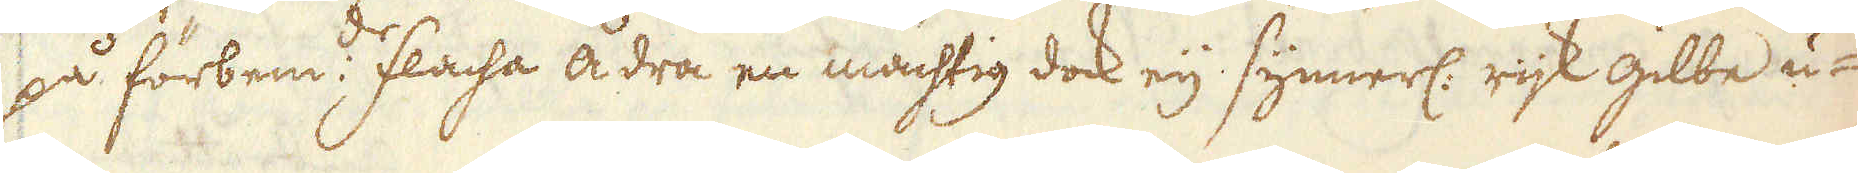på förbem:de flacha ådra en mächtig dock eij synnerl: rijk gilbe u-
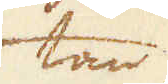tan
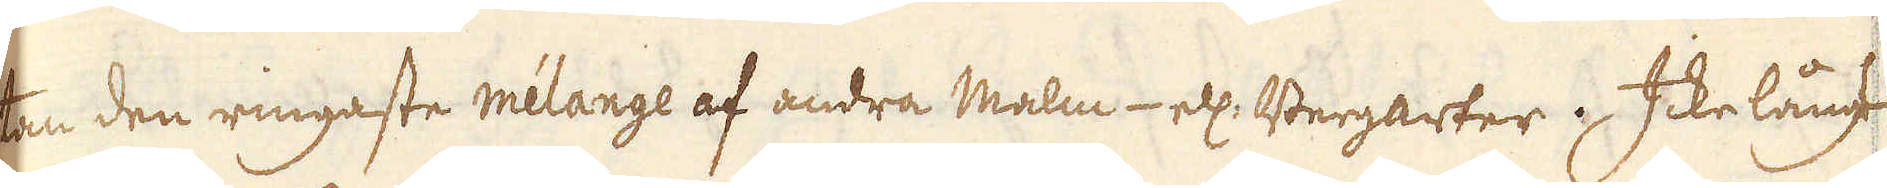ten den ringaste mélange af andra malm- ell: Bergarter; Icke långt
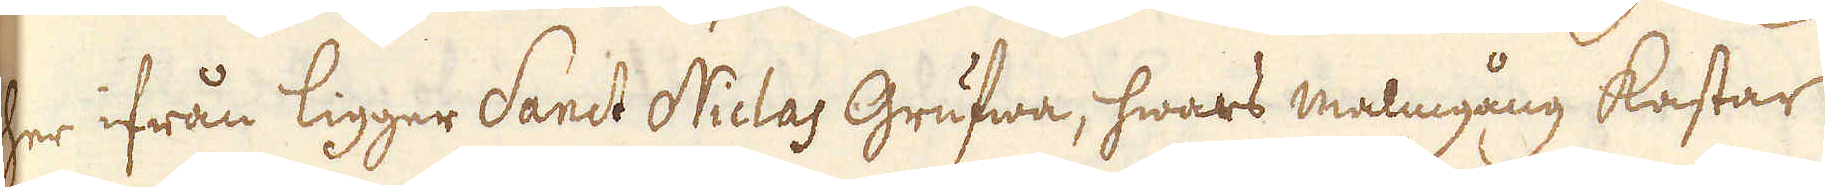her ifrån ligger Sanct Niclas Grufwa, hwars malmgång kastar
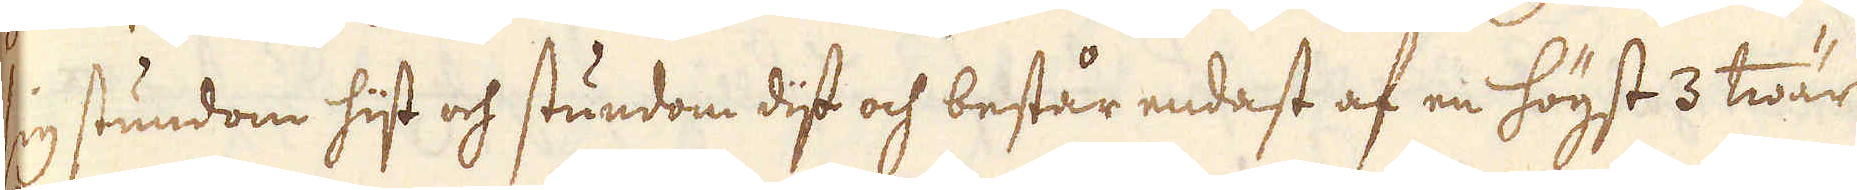sig stundom hijt och stundom dijt och består endast af en högst 3 twär
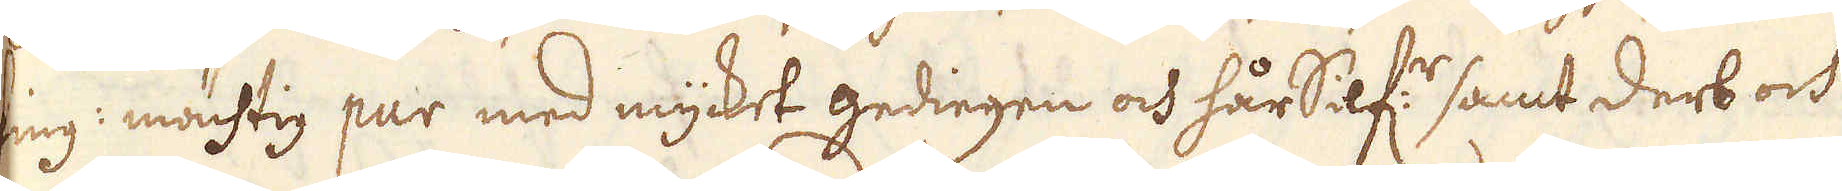fing: mächtig pur med mycket gediegen och hårSilf:r samt derb och
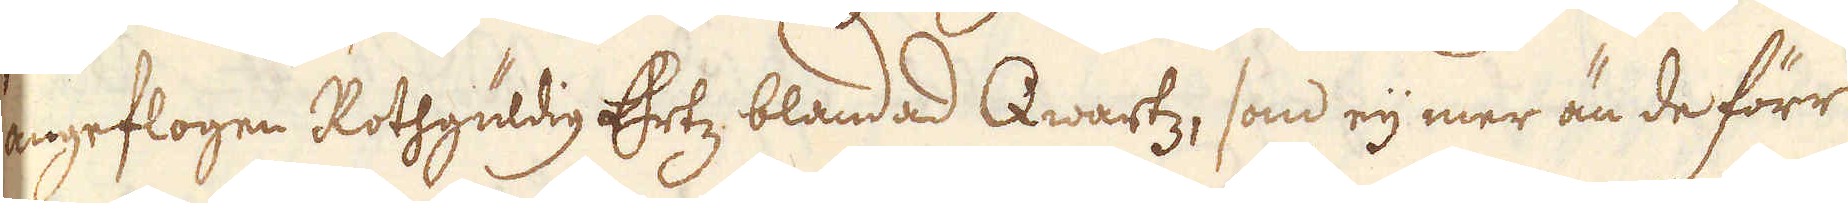angeflogen Rothgüldig Ertz blandad Qwartz, som eij mer än de förr
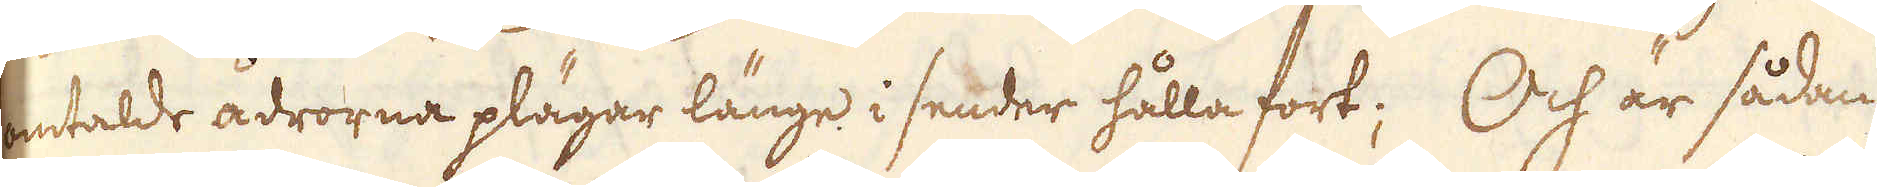omtalde ådrorna plägar länge i sender hålla fort; Och är sådan
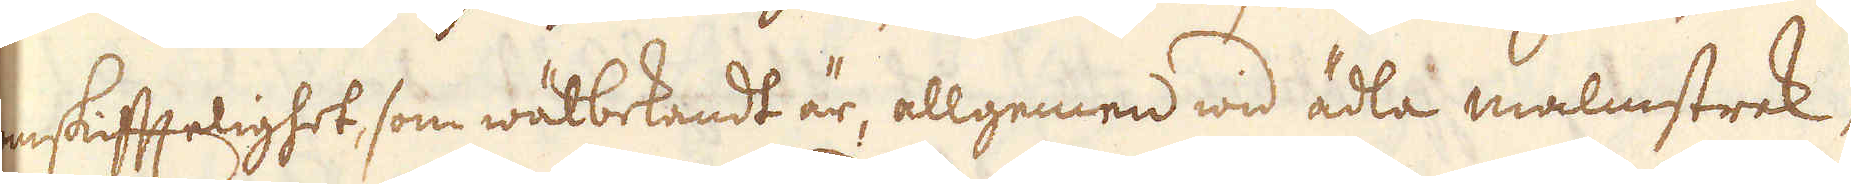omskiftelighet som wälbekandt är, allgemen wid ädla malmstrek,
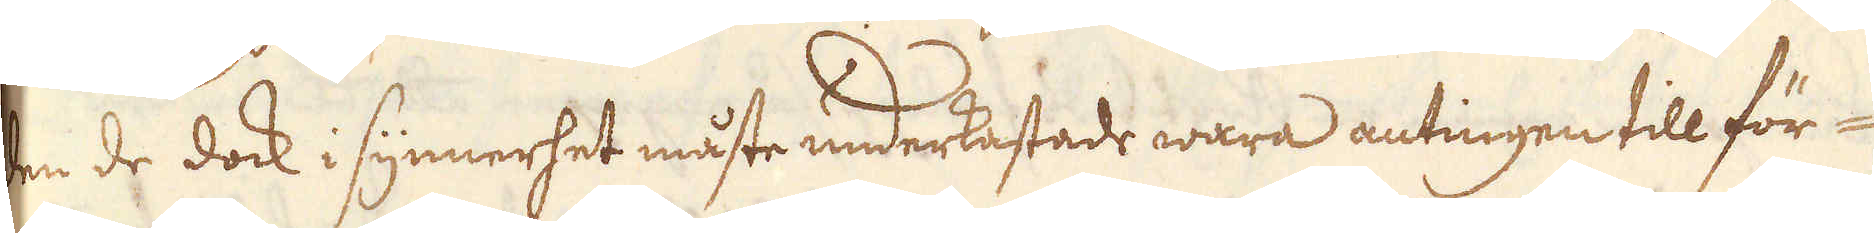den de dock i synnerhet måste underkastade wara antingen till för-
